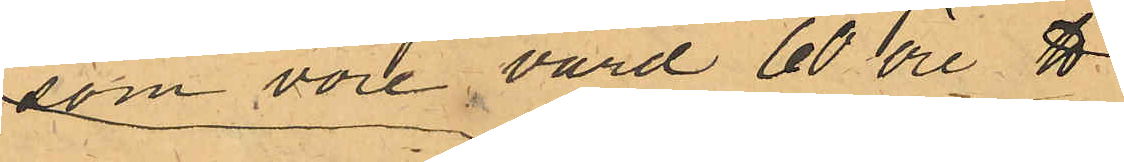som vore värd 60 öre ℔
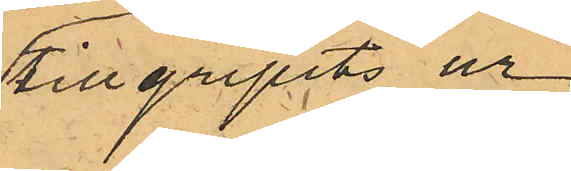tillgripits ur
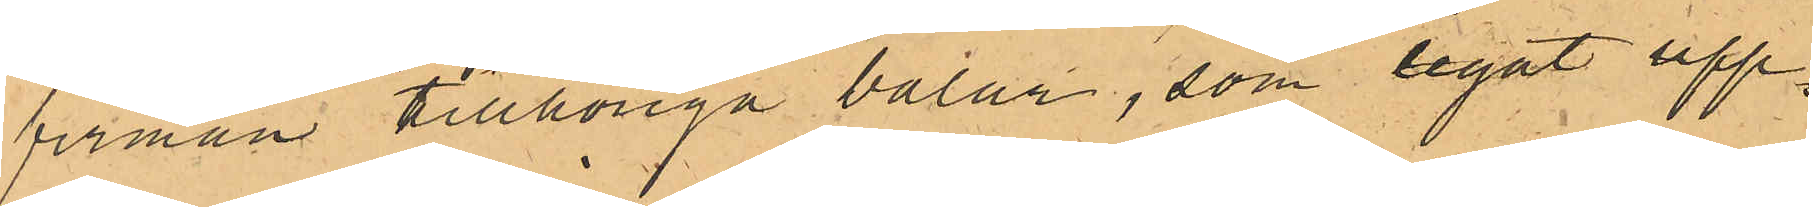firman tillhöriga balar, som legat upp¬
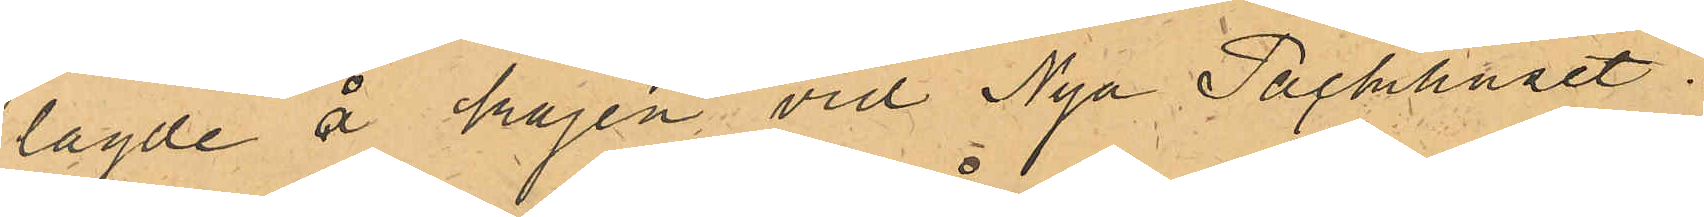lagde å kajen vid Nya Packhuset.
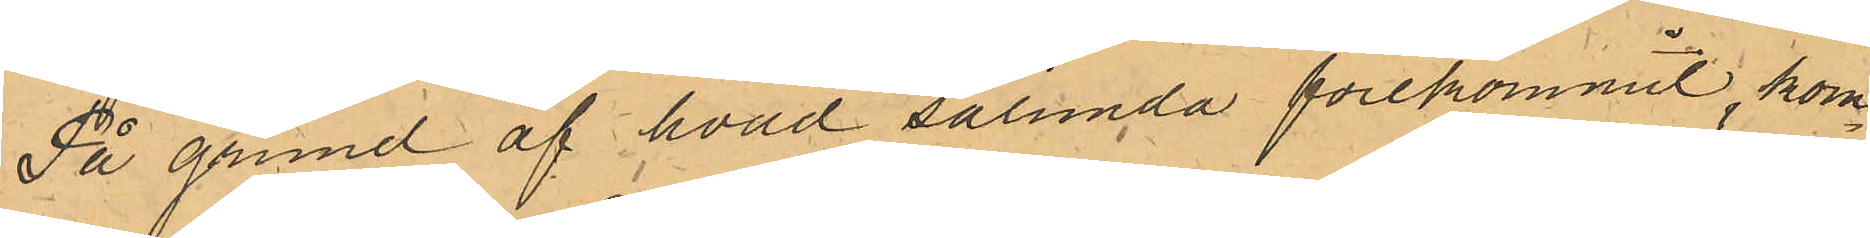På grund af hvad sålunda förekommit, kom¬
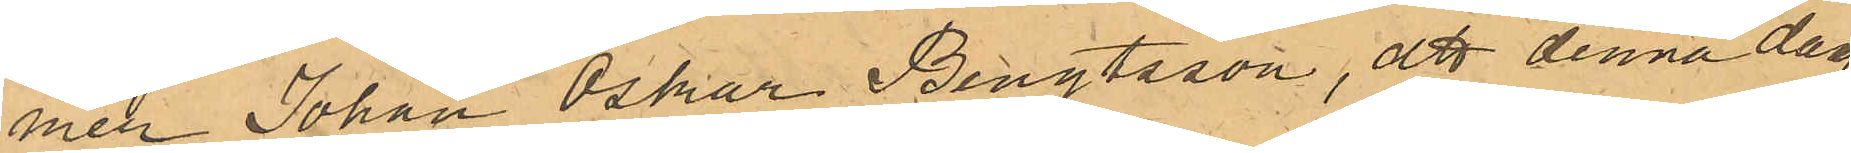mer Johan Oskar Bengtsson, att denna dag
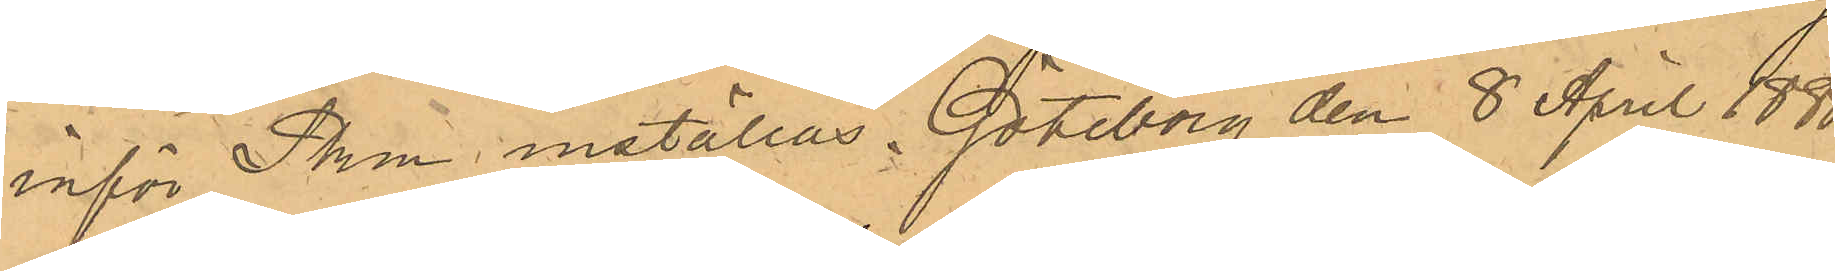inför Pkm inställas. Göteborg den 8 April 1880.
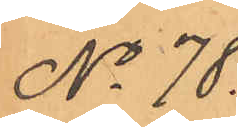No 78.
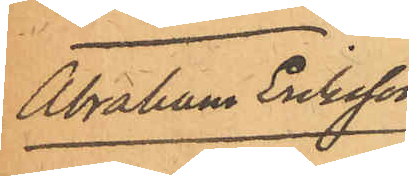Abraham Eriksson
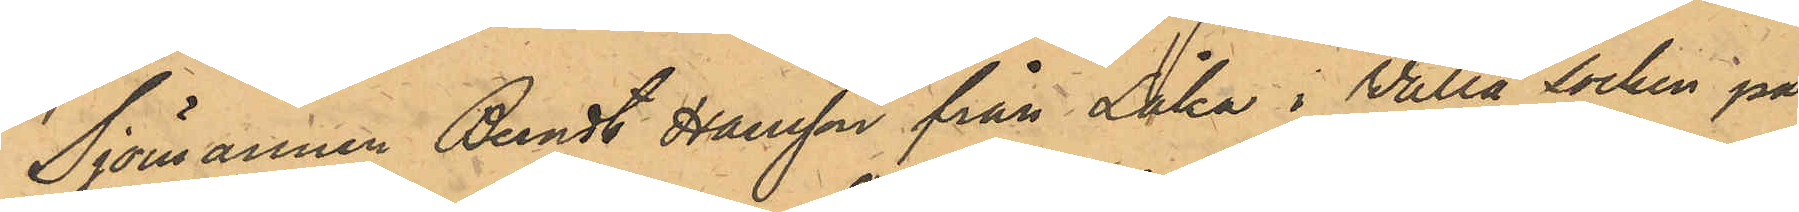Sjömannen Berndt Hansson från Låka i Valla socken på
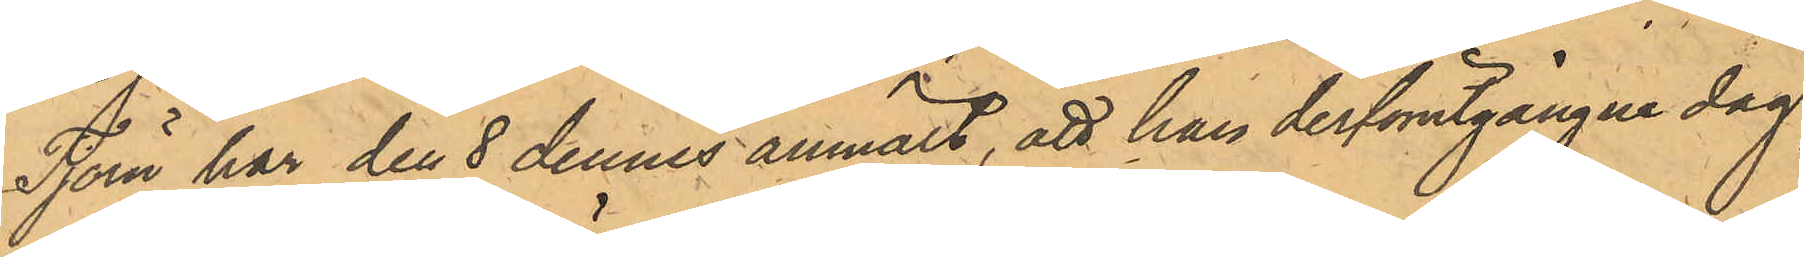Tjörn har den 8 dennes anmält, att han derförutgångne dag,
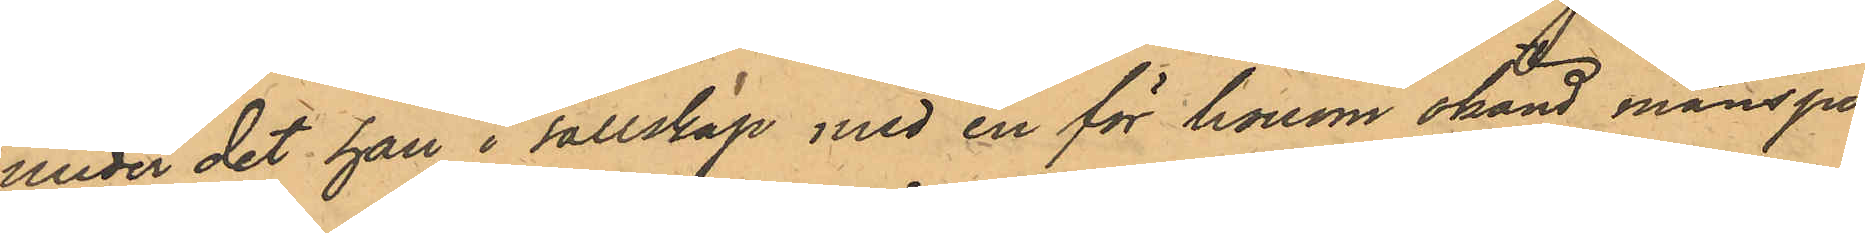under det han i sällskap med en för honom okänd mansper¬
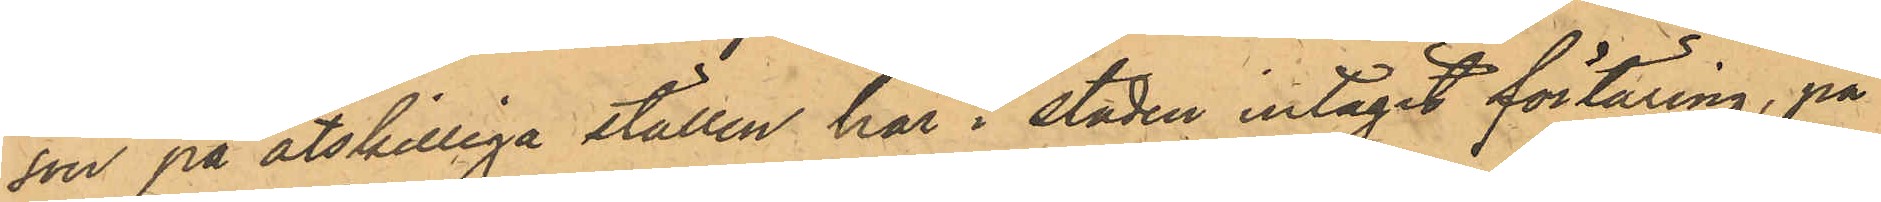son på åtskilliga ställen här i staden intagit förtäring, på
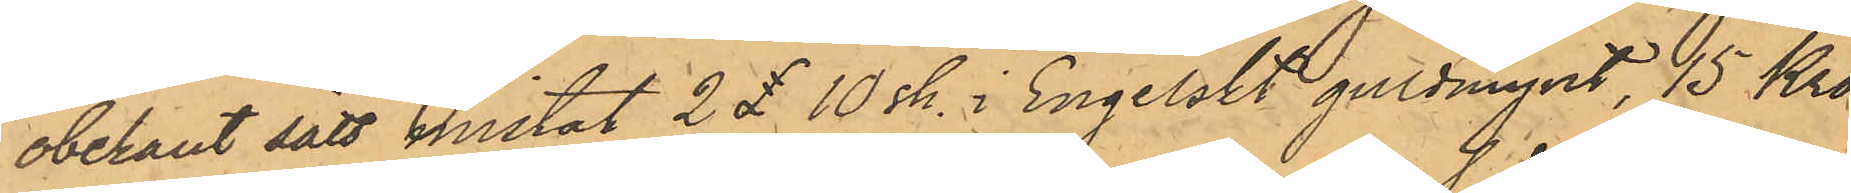obekant sätt mistat 2 £ 10 sk. i engelskt guldmynt, 15 Kro¬ 
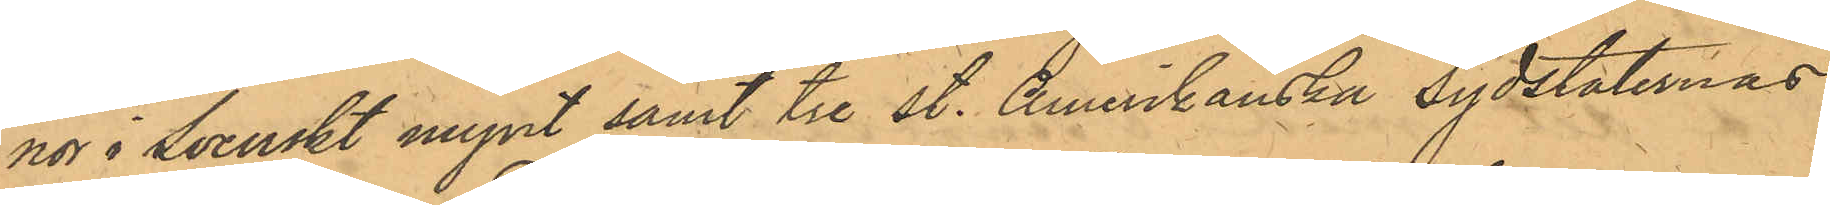nor i Svenskt mynt samt tre st. Amerikanska Sydstaternas
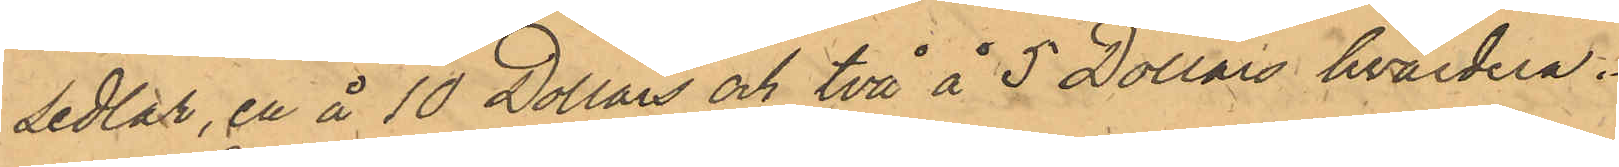Sedlar, en å 10 Dollars och två å 5 Dollars hvardera.
